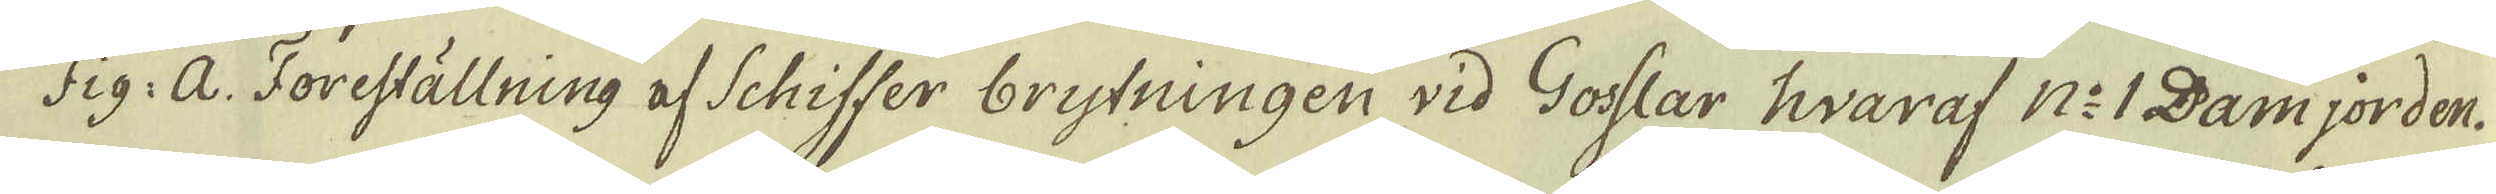Fig: A. Foreställning af Schiffer brytningen vid Gosslar hvaraf N:1 Damjorden.
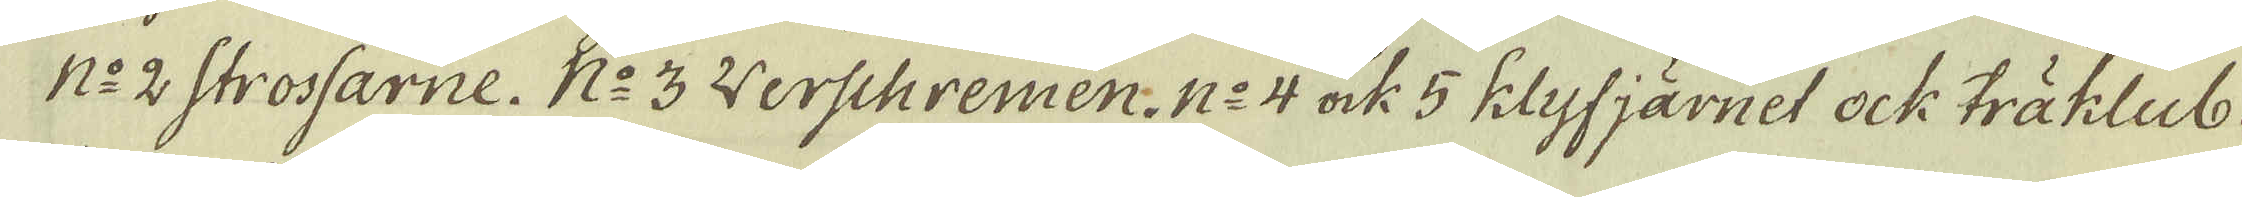N:o 2 Strossarne. N:o 3 Werschremen. N:o 4 ock 5 klyfjärnet ock träklub-
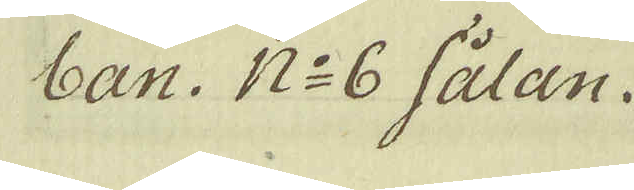ban. N:o 6 sålan.
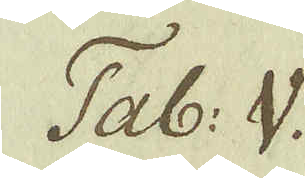Tab: V.
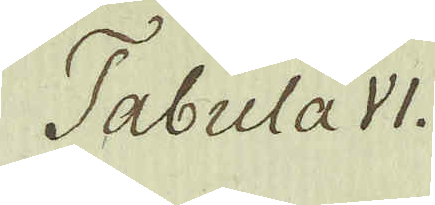Tabula VI.
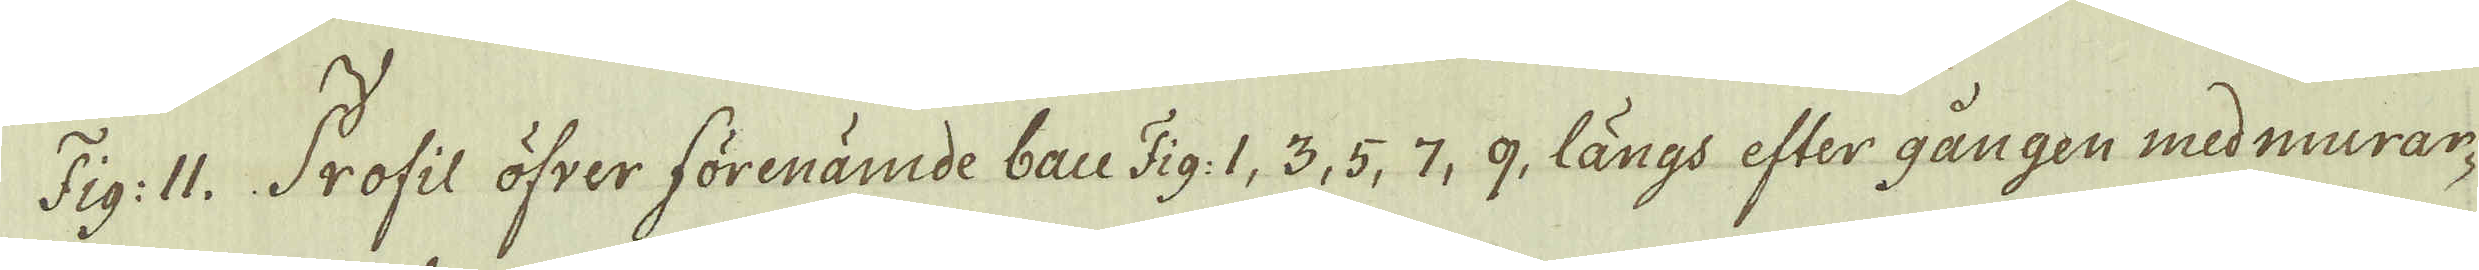Fig: II. Profil öfver förenämde bau Fig: 1, 3, 5, 7, 9, längs efter gången med murar-
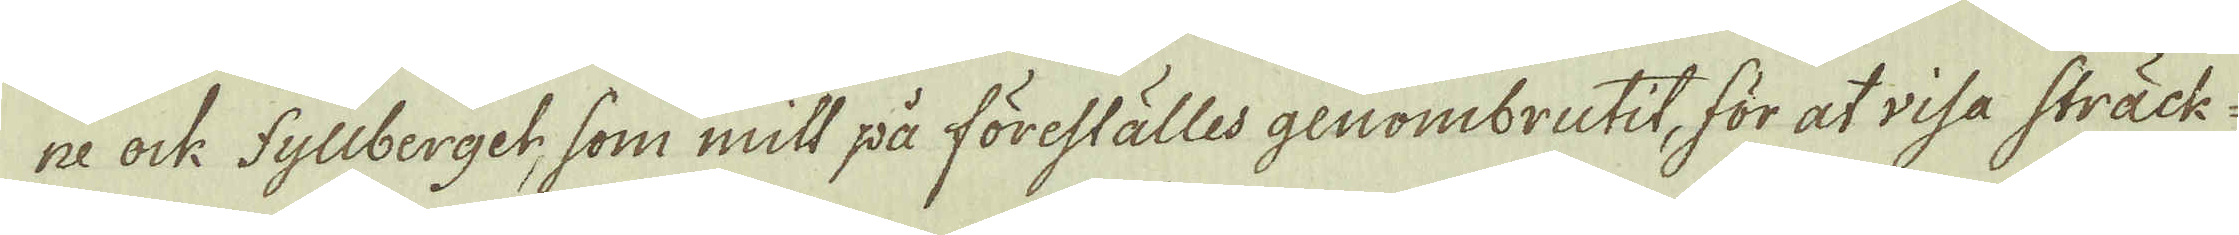ne ock Fyliberget, som mitt på föreställes genombrutit, för at visa sträck-
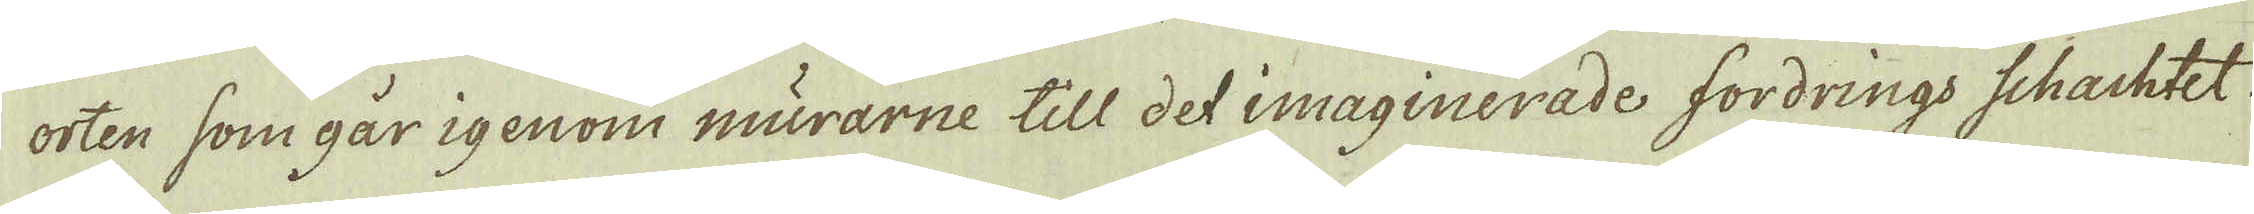orten som går igenom murarne till det imaginerade fordrings schachtet
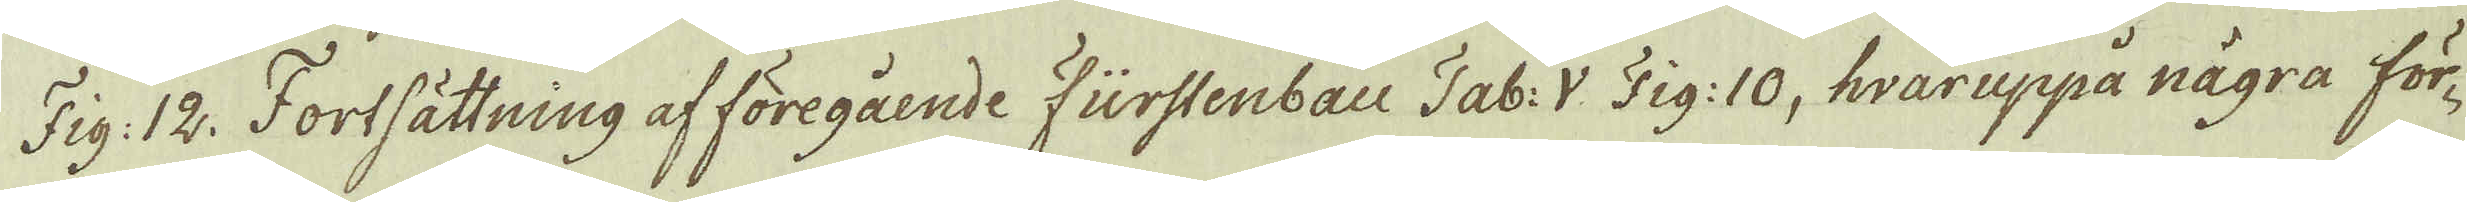Fig: 12. Fortsättning af föregående Fürstenbau Tab: V Fig: 10, hvaruppå några för-
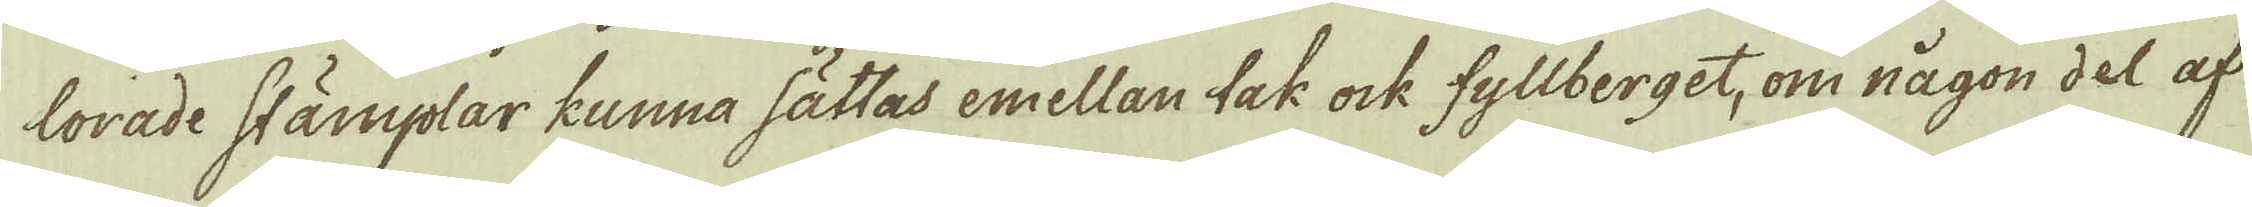lorade stämplar kunna sättas emellan tak ock fyllberget, om någon del af
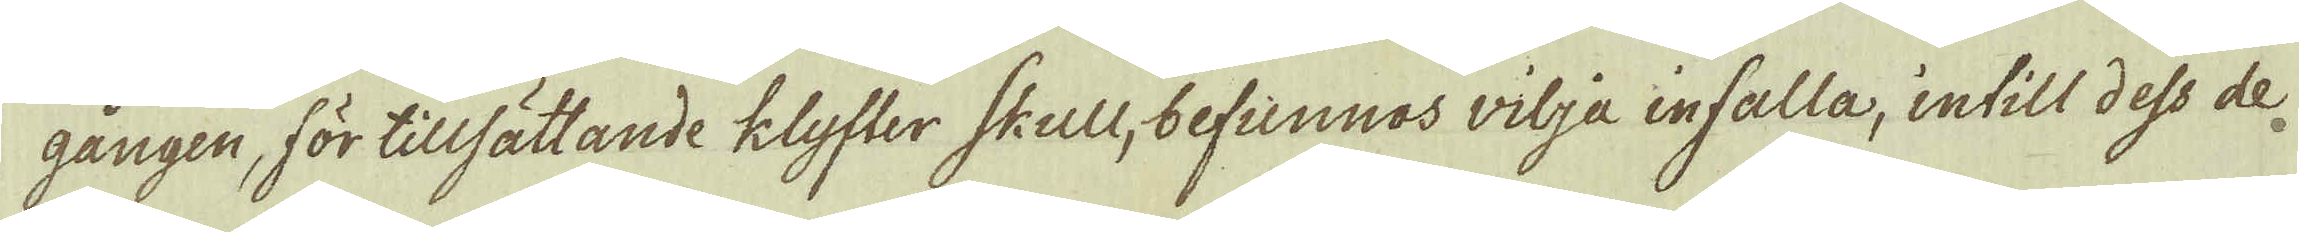gången, för tillsättande klyfter Skull, befunnos wilja infalla, intill dess de
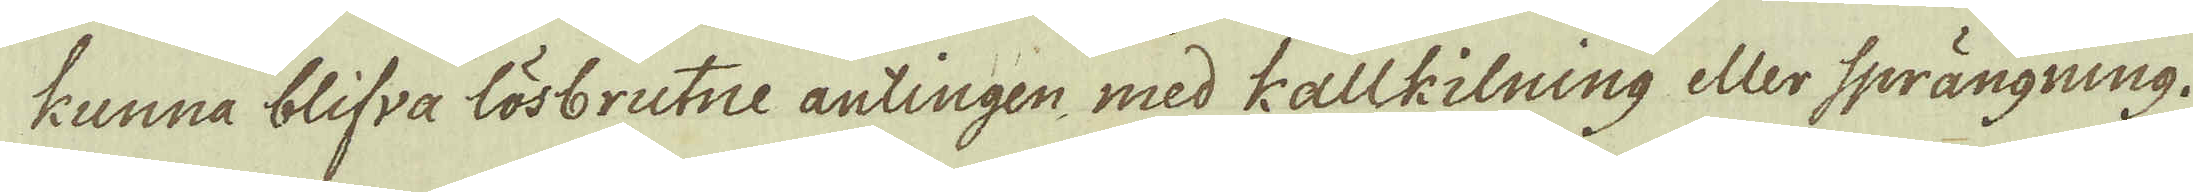kunna blifva lösbrutne antingen med kallkilning eller sprängning.
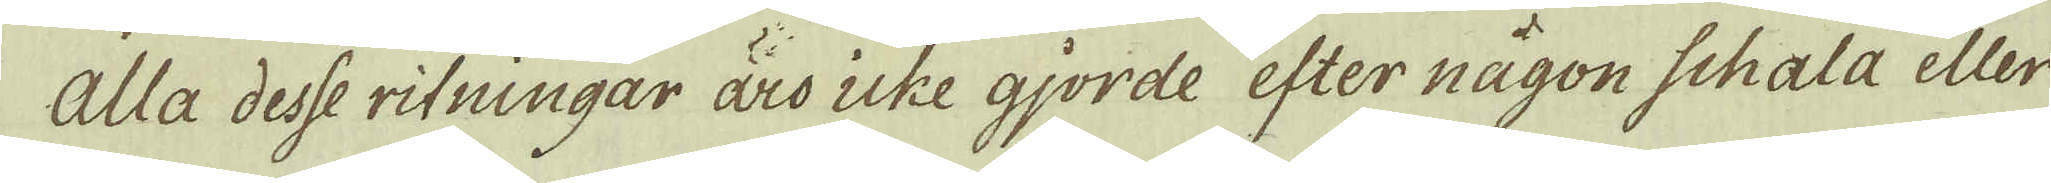Alla desse ritningar äro icke gjorde efter någon schala eller
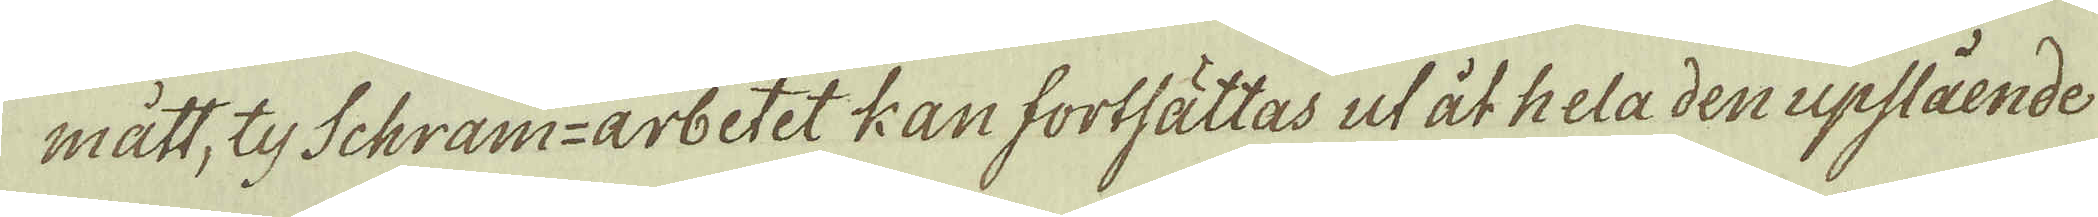mått, ty Schram-arbetet kan fortfättas ut åt hela den upslående
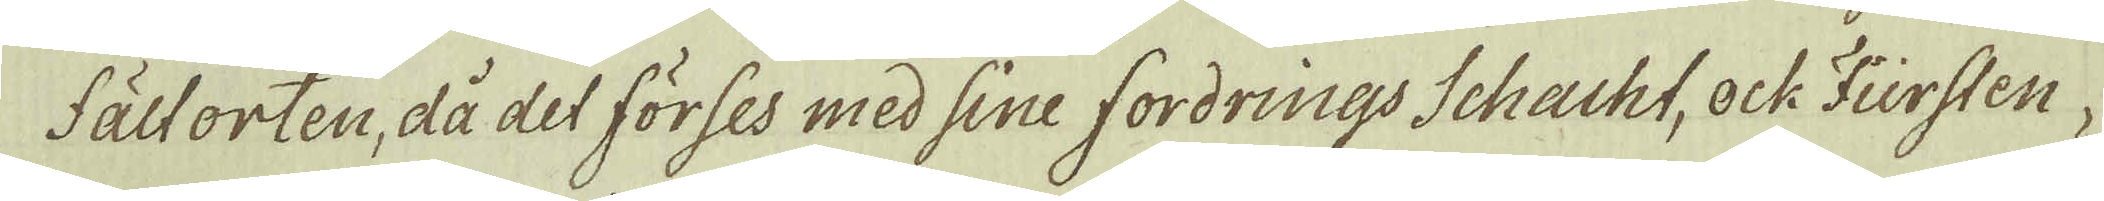fältorten, då det förses med sine fordrings Schacht, ock Fürsten-
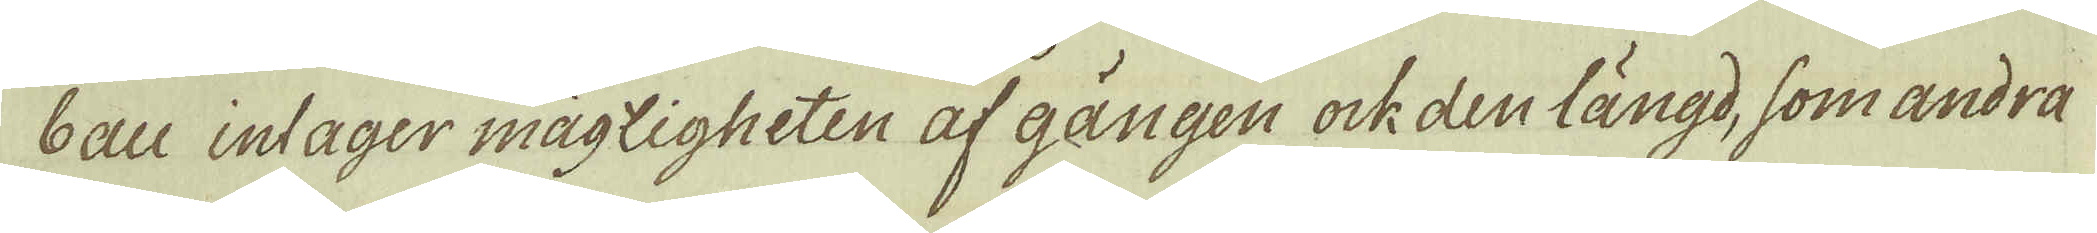bau intager mägligheten af gången ock den längd, som andra
